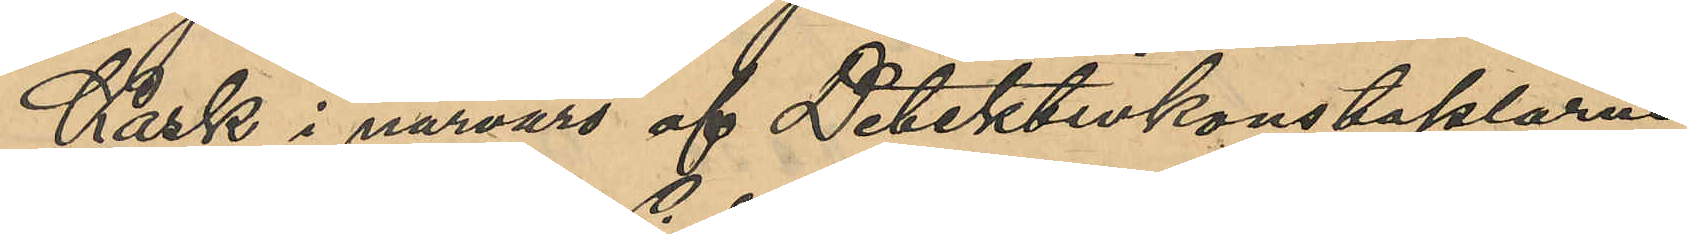Kask i närvaro af Detektivkonstaplarne
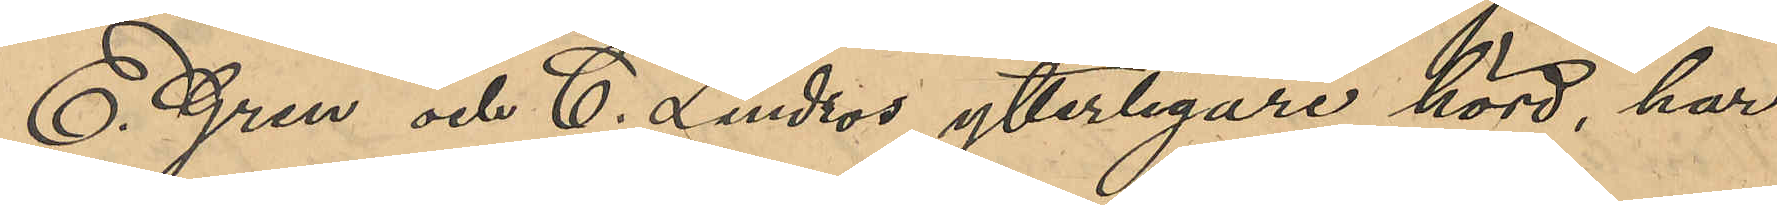E. Gren och C. Lindros ytterligare hörd, har
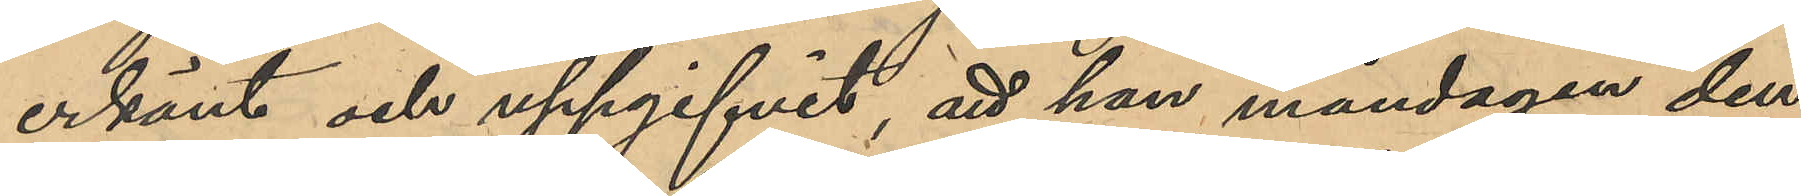erkänt och uppgifvit, att han måndagen den
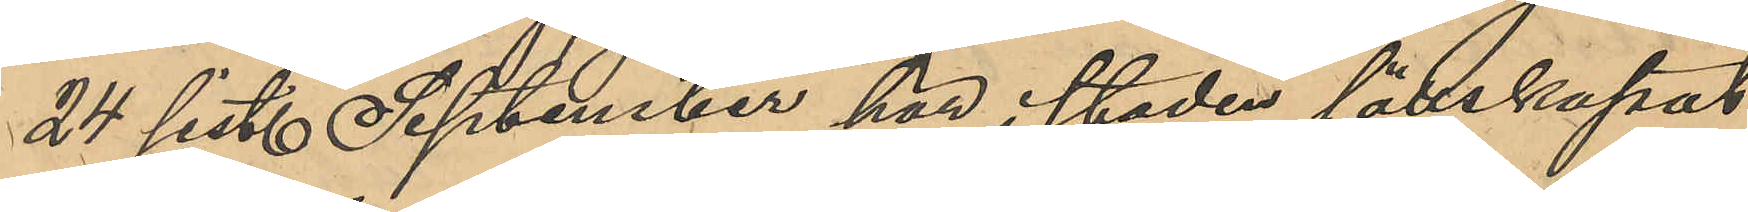24 sist. September här i staden sällskapat
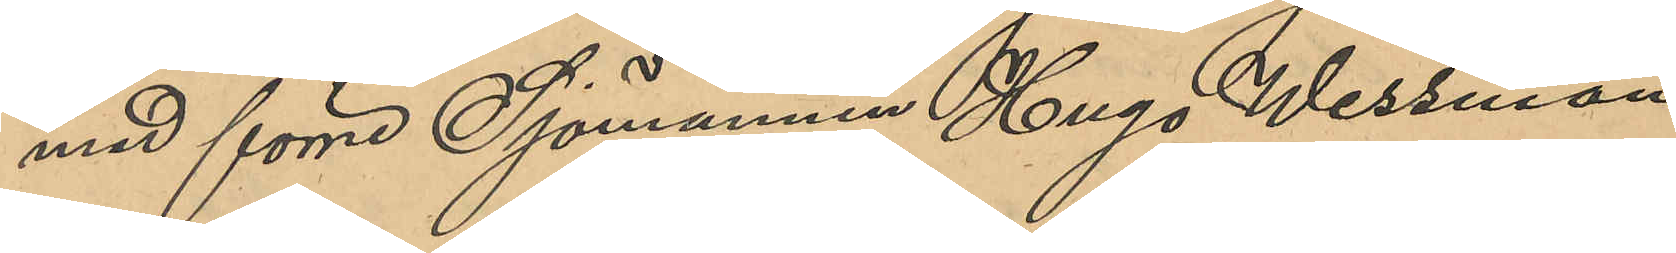med förre Sjömannen Hugo Wessman
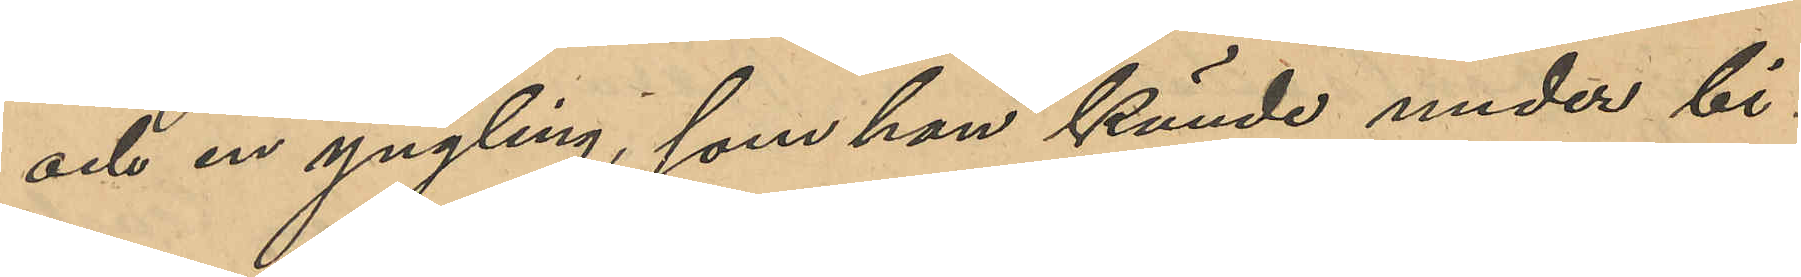och en yngling, som han kände under bi¬
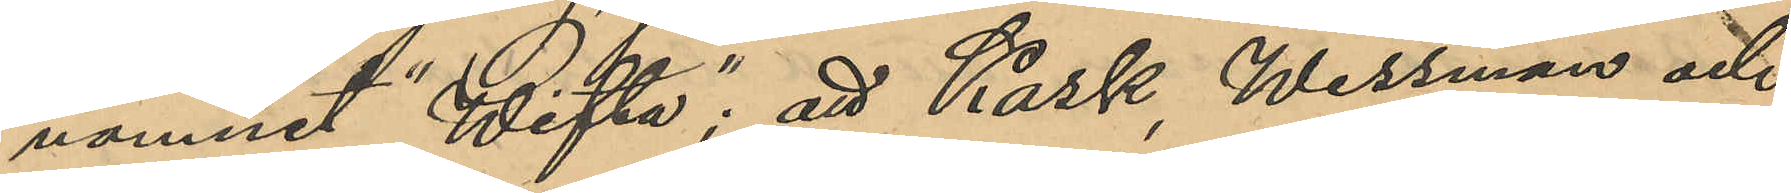namnet "Wifta"; att Kask, Wessman och
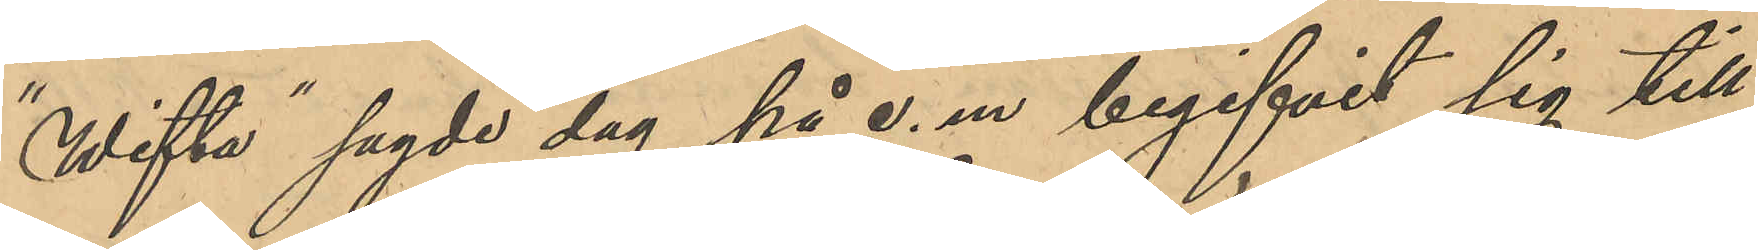"Wifta" sagde dag på e. m. begifvit sig till
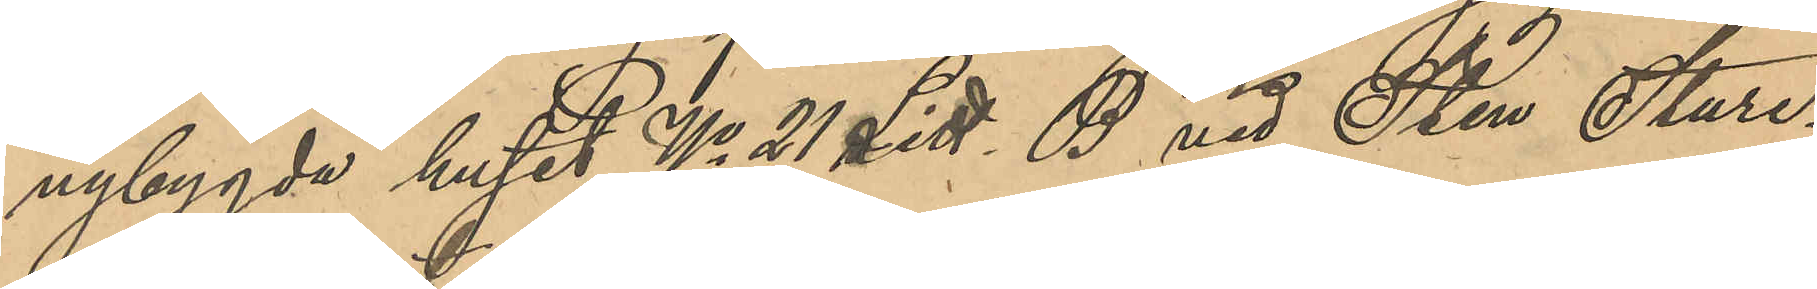nybygda huset No 21 Litt. B vid Sten Sture¬
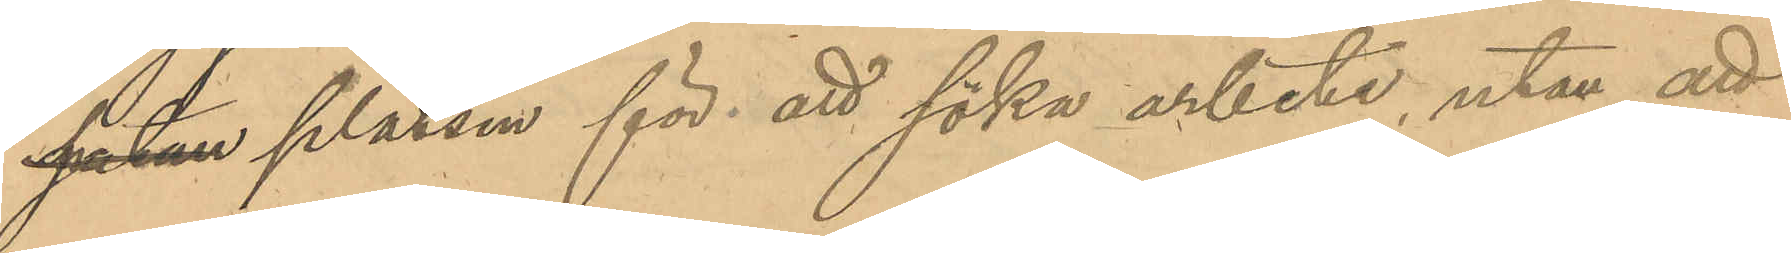gatan platsen för att söka arbete, utan att
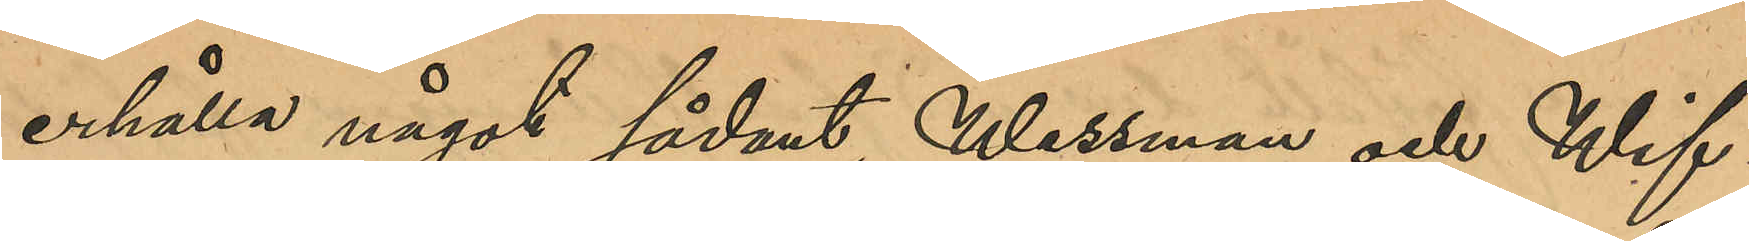erhålla något sådant, Wessman och Wif¬
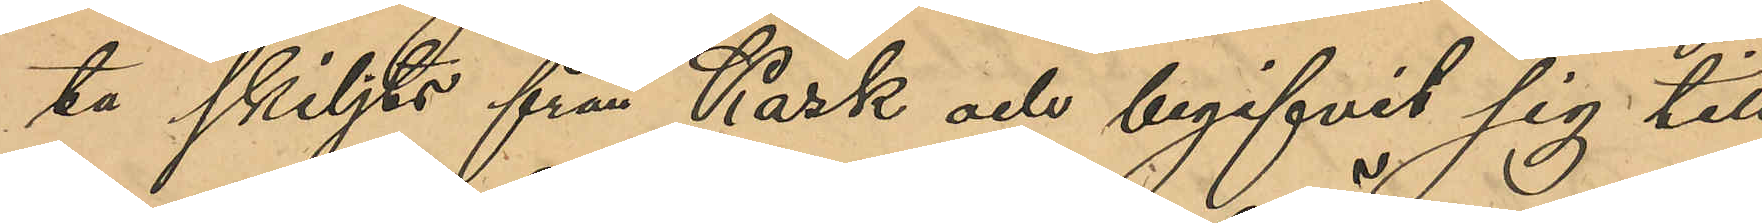ta skiljts från Kask och begifvit sig till
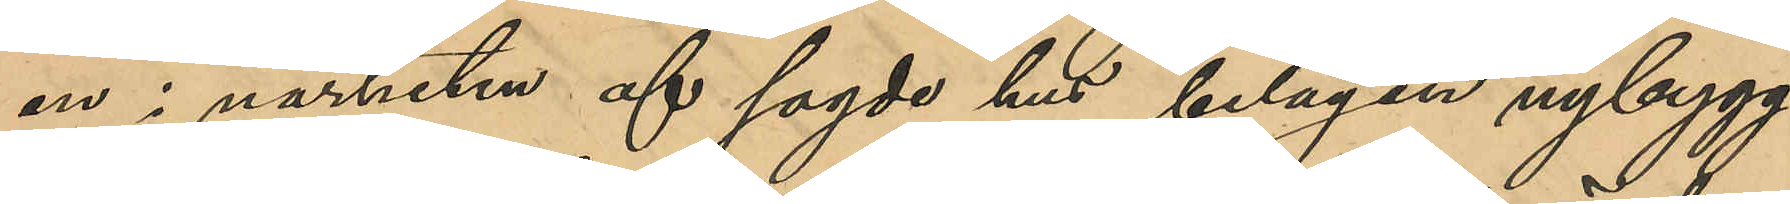en i närheten af sagde hus belägen nybygg¬
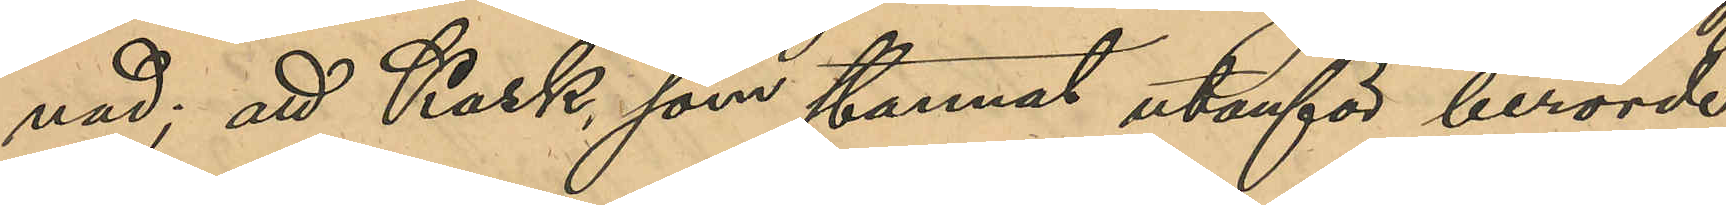nad; att Kask, som stannat utanför berörde
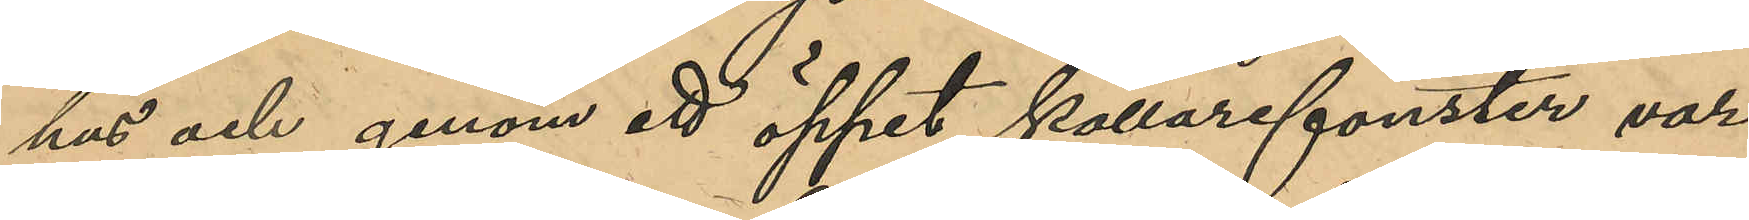hus och genom ett öppet källarfönster var¬
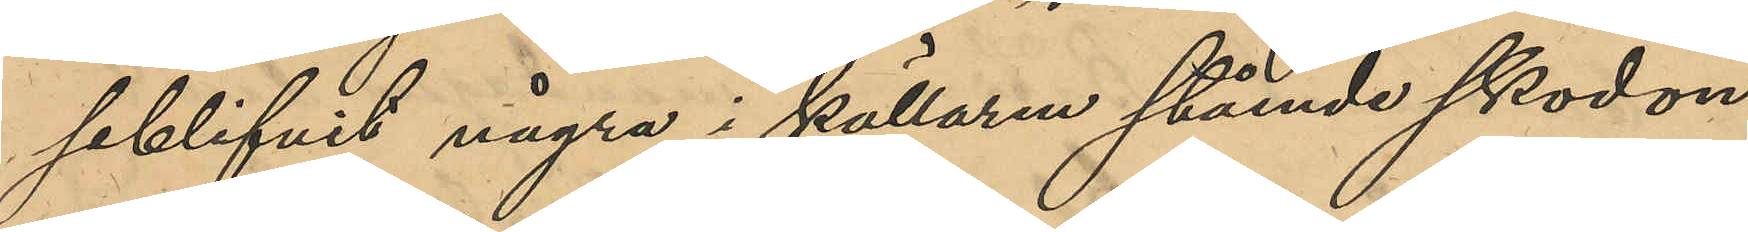seblifvit några i källaren stående skodon,
